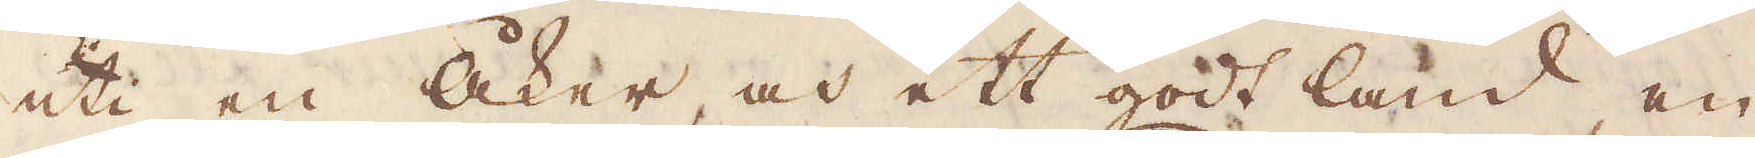uti en åker, och ett godt land, en
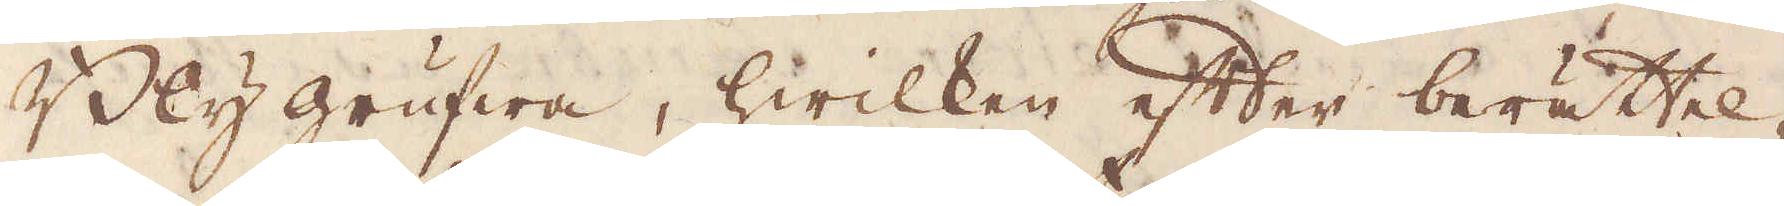Blygrufwa, hwilken efter berättel-
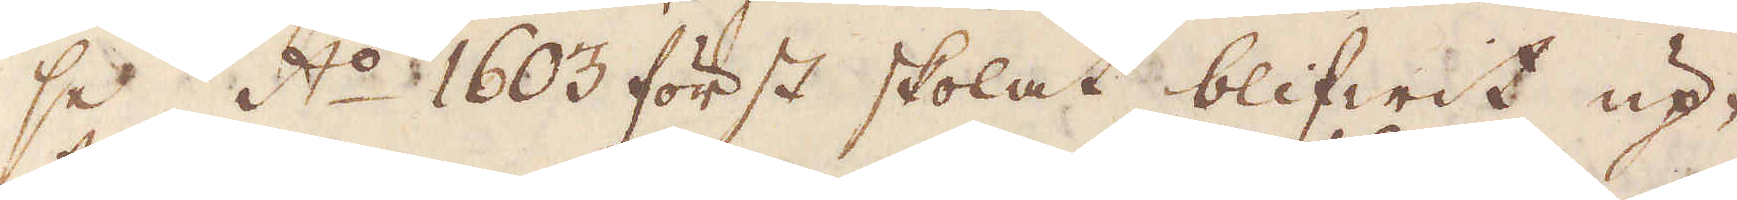se A:o 1603 först skolat blifwit up-
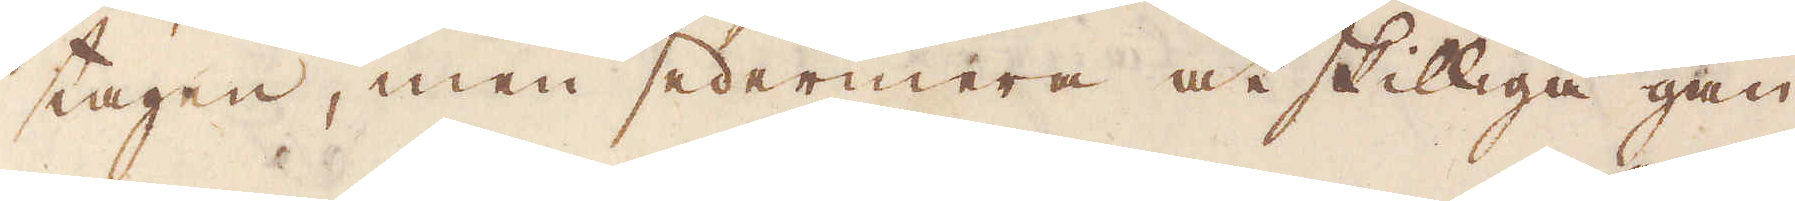tagen, men sedermera åtskilliga gån-
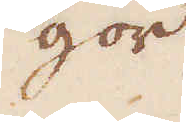gor
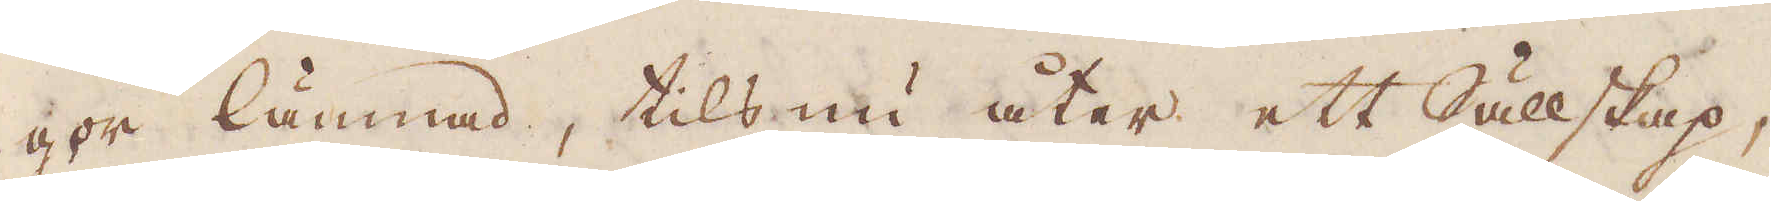gor lämnad, tils nu åter ett Sällskap,
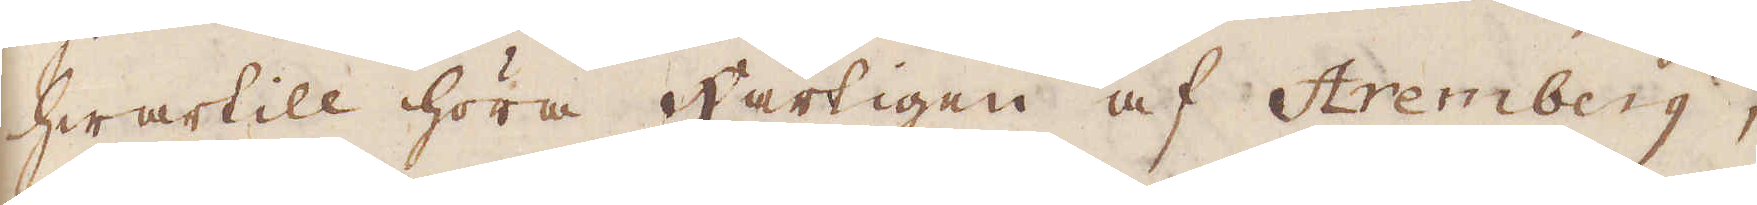hwartill höra härtigen af Aremberg,
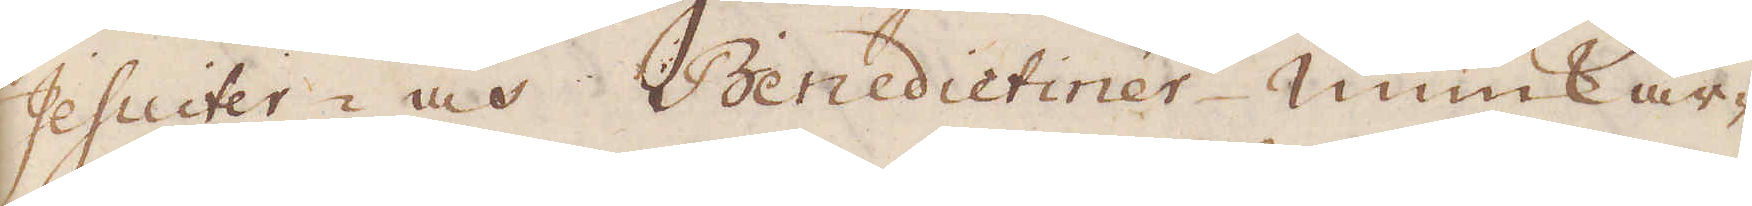Jesuiter- och Benedictiner munkar-
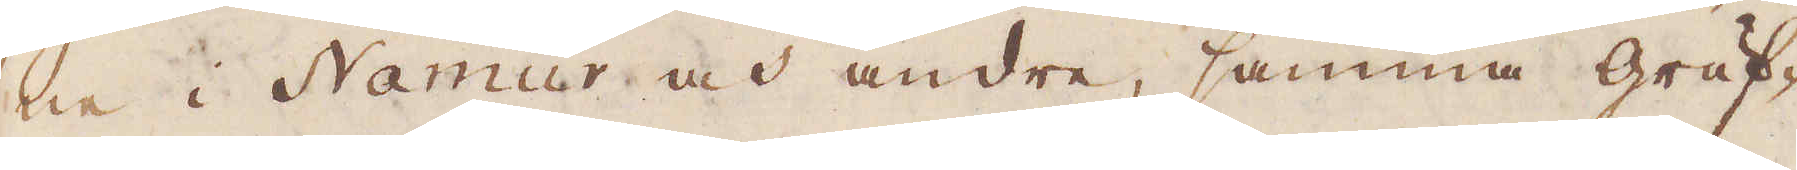na i Namur och andra, samma gruf-
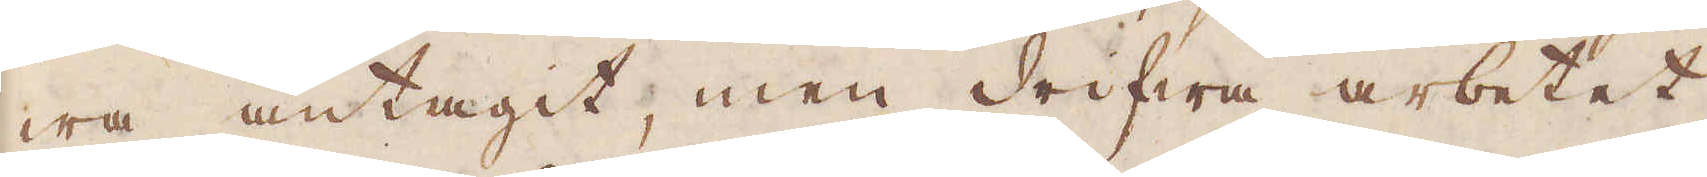wa antagit, men drifwa arbetet
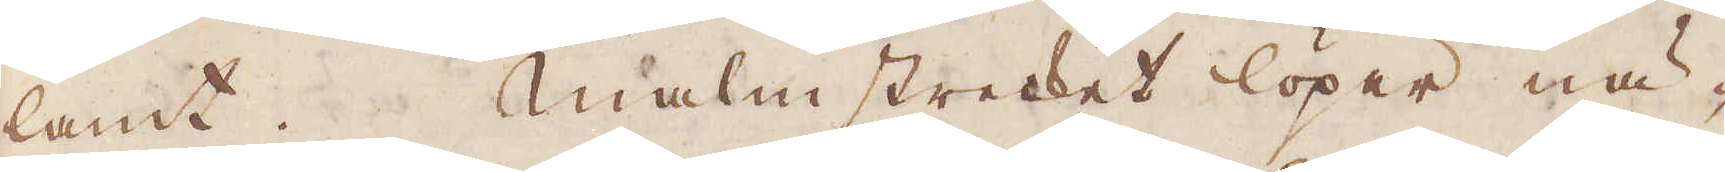lamt. Malmstrecket löper nä-
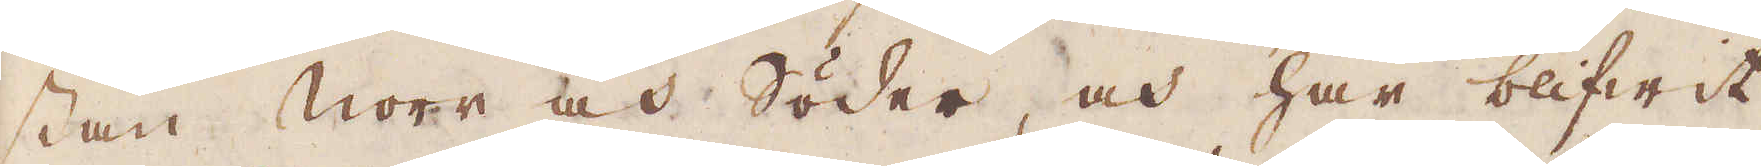stan Norr och Söder, och har blifwit
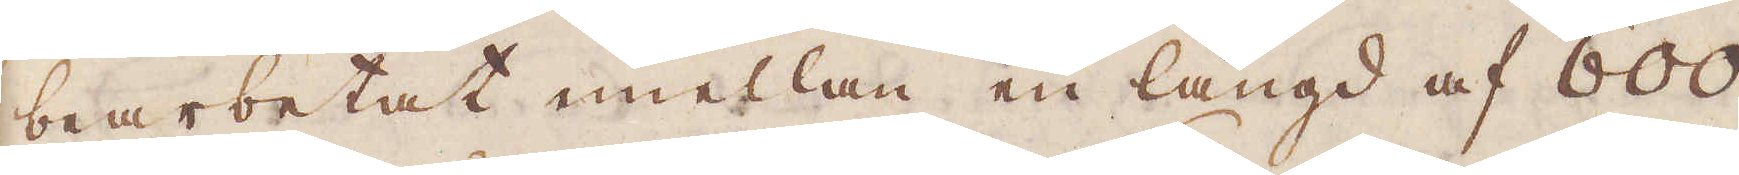bearbetat mellan en längd af 600
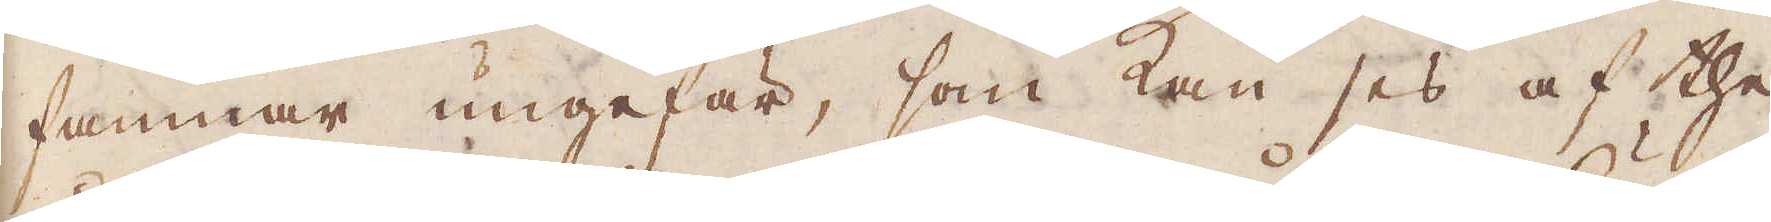famnar ungefär, som kan ses af the
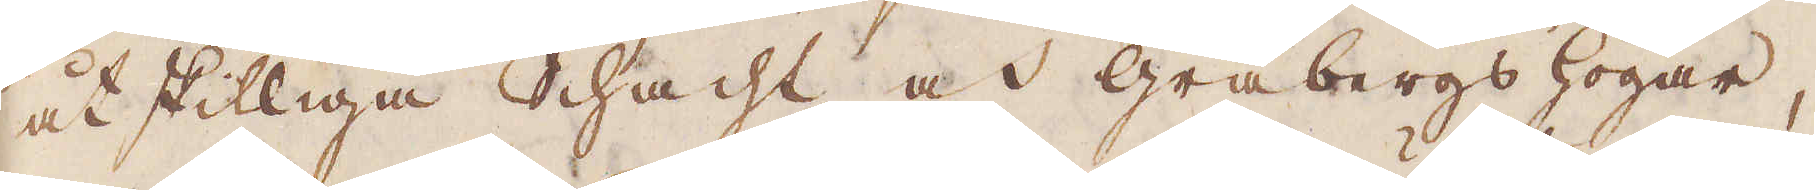åtskilliga Schacht och gråbergshögar,
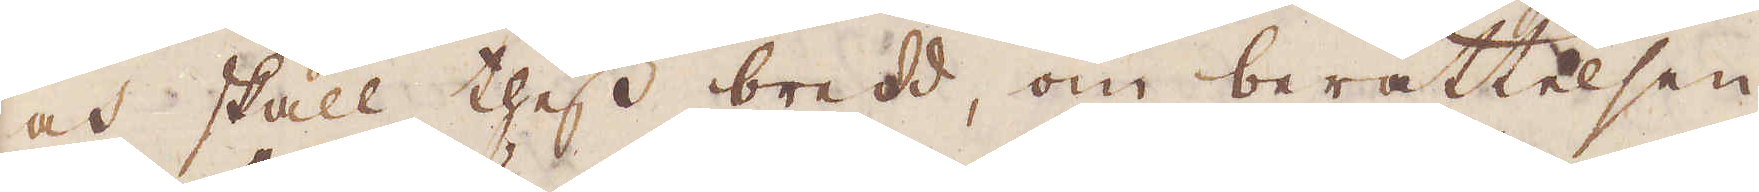och skall thess bredd, om berättelsen
